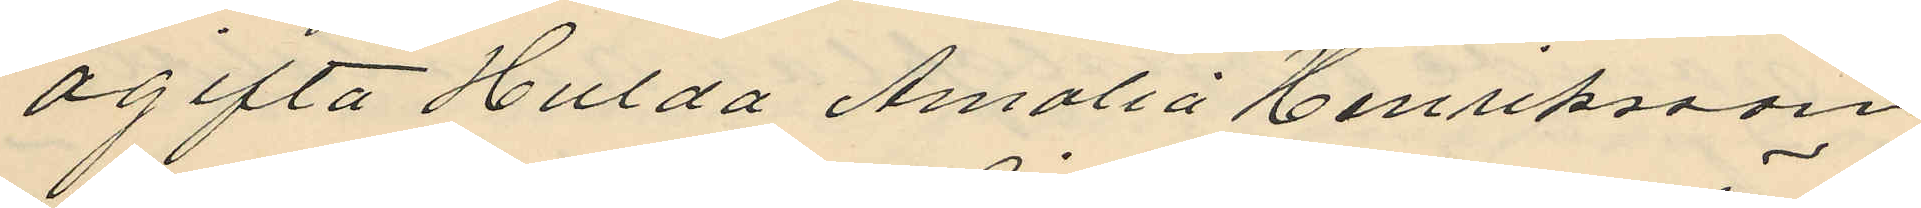ogifta Hulda Amalia Henriksson,
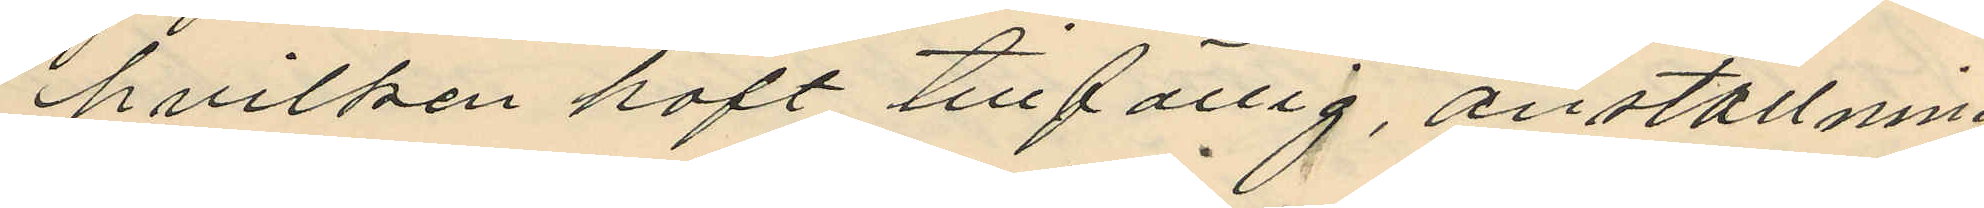hvilken haft tillfällig anställning
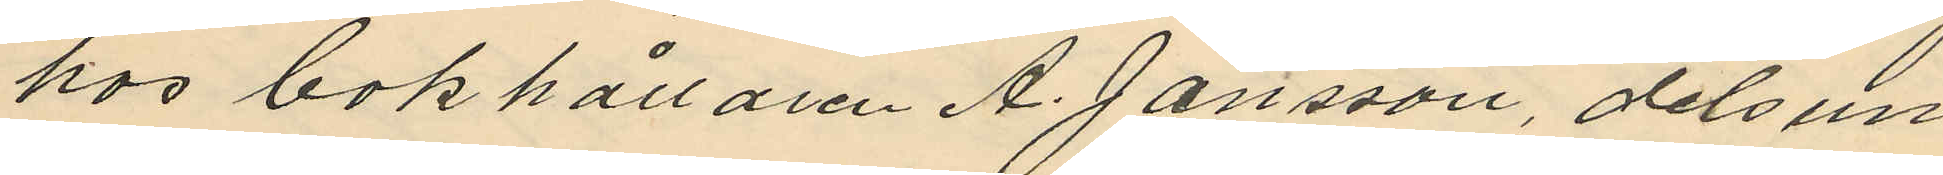hos bokhållaren A. Jansson, dels un
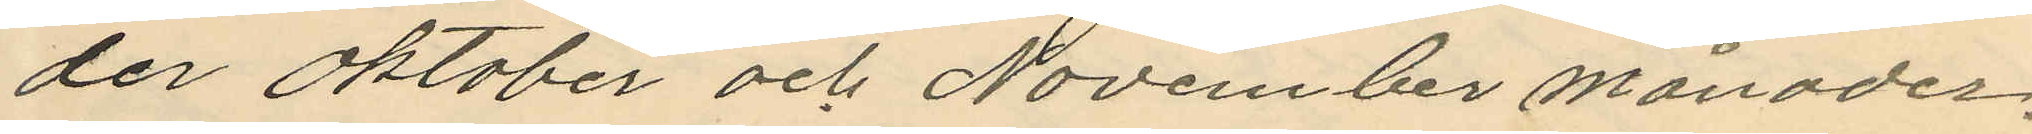der Oktober och November månader,
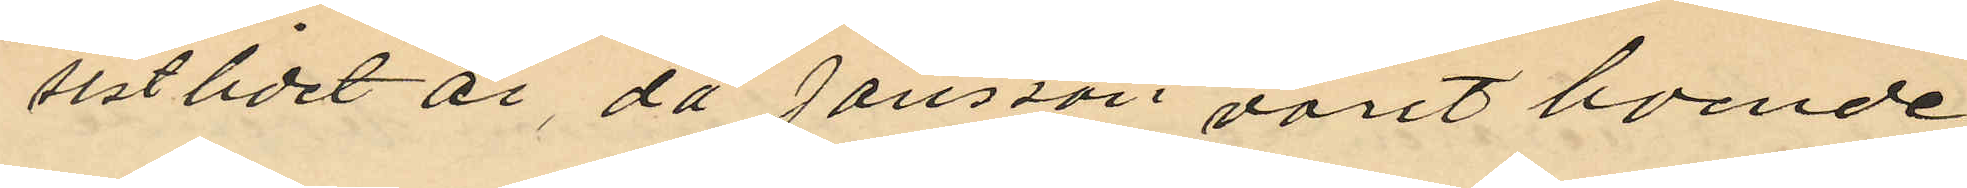sistlidet år, då Jansson varit boende
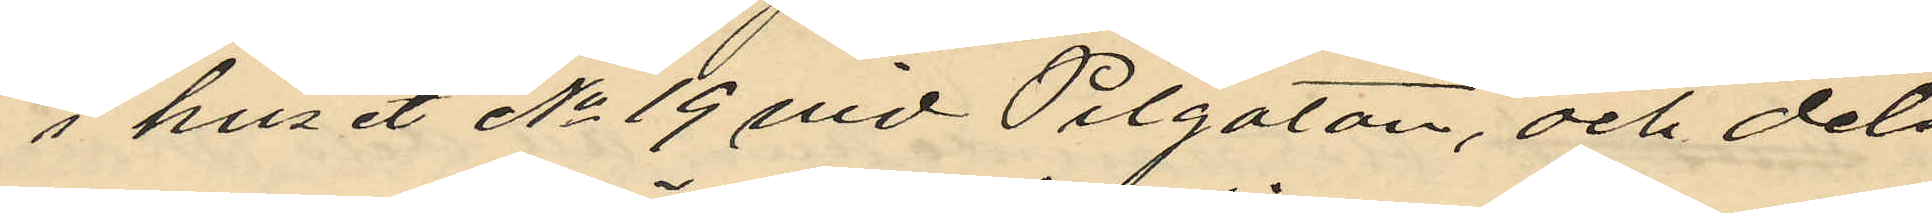i huset No 19 vid Pilgatan, och dels
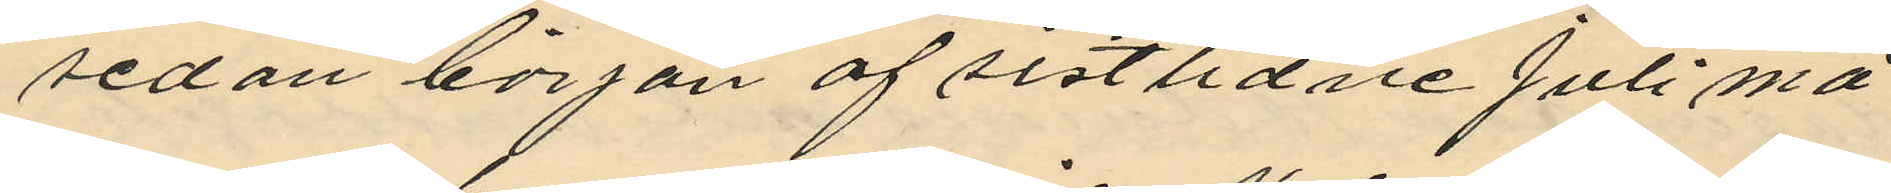sedan början af sistlidne Juli må
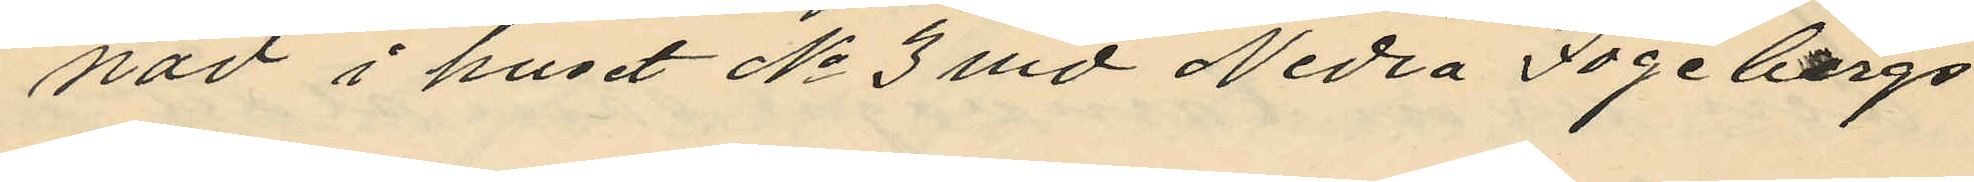nad i huset No 3 vid Nedra Fogelbergs
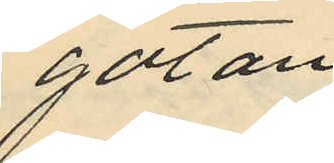gatan.
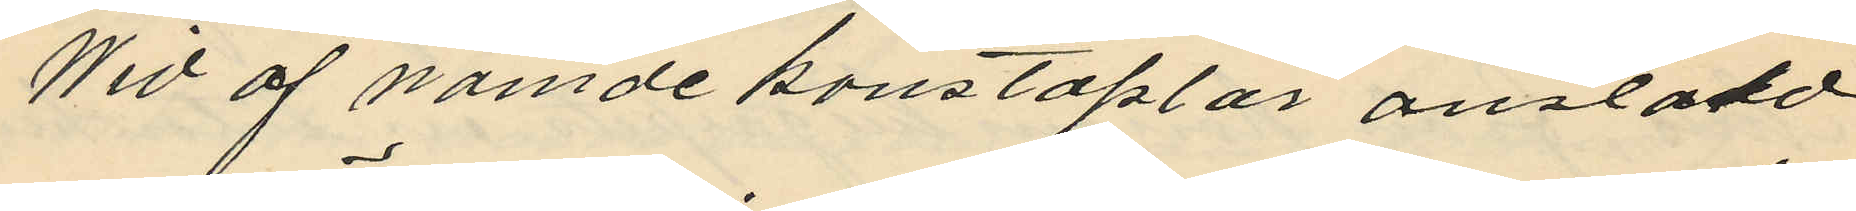Wid af nämde konstaplar anstäld
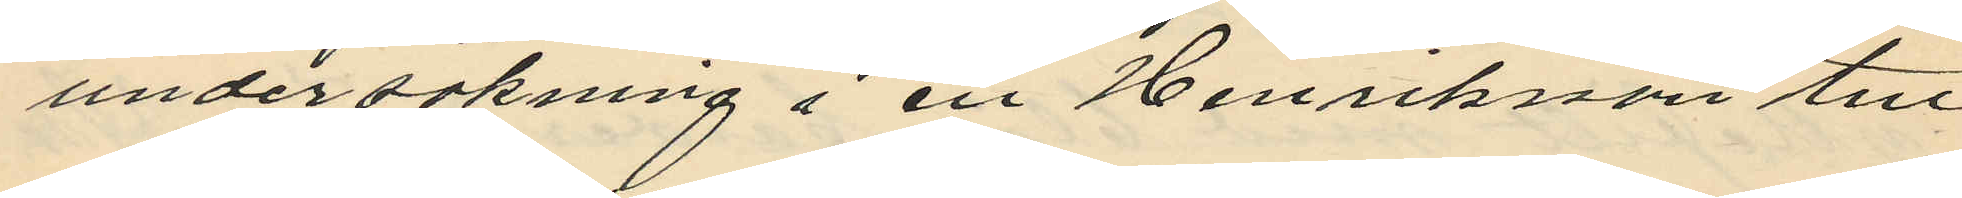undersökning i en Henriksson till
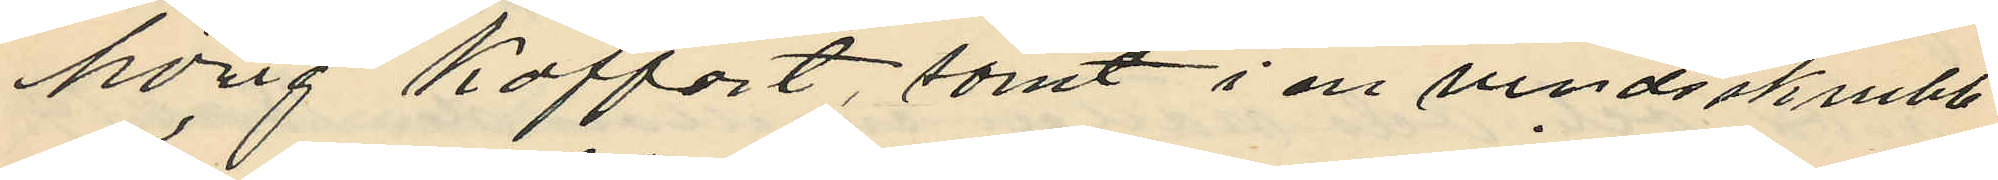hörig koffert, samt i en vindsskrubb,
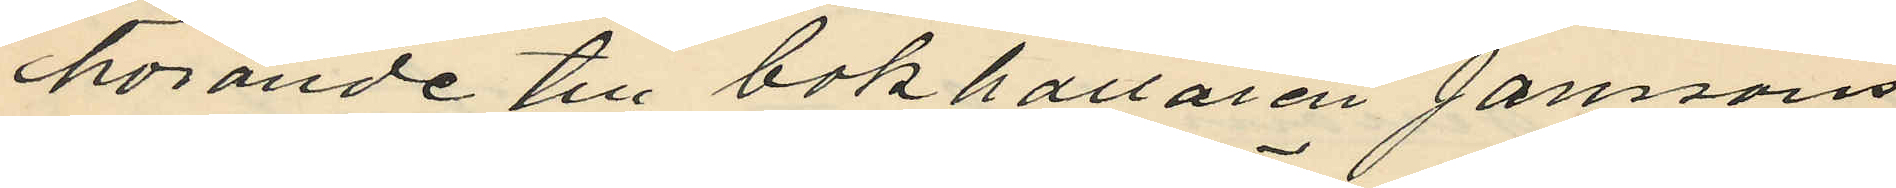hörande till bokhållaren Janssons
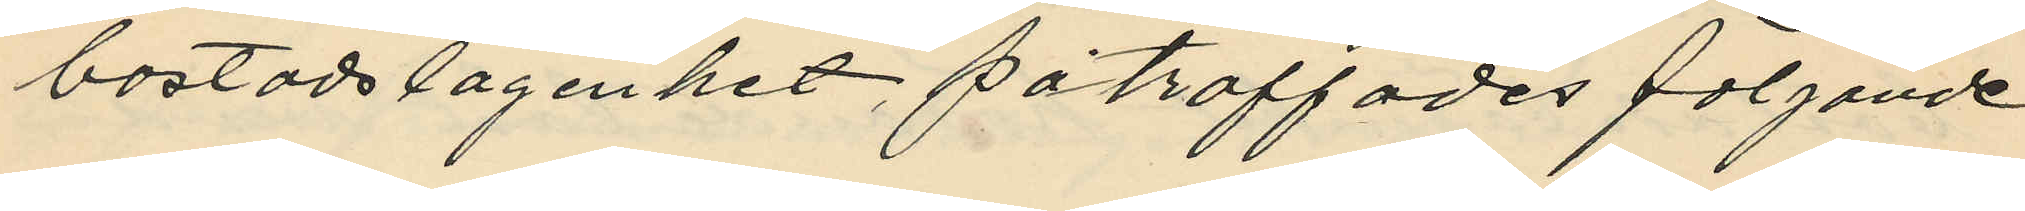bostadslägenhet, påträffades följande
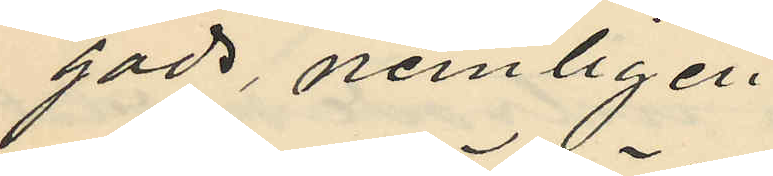gods, nemligen,
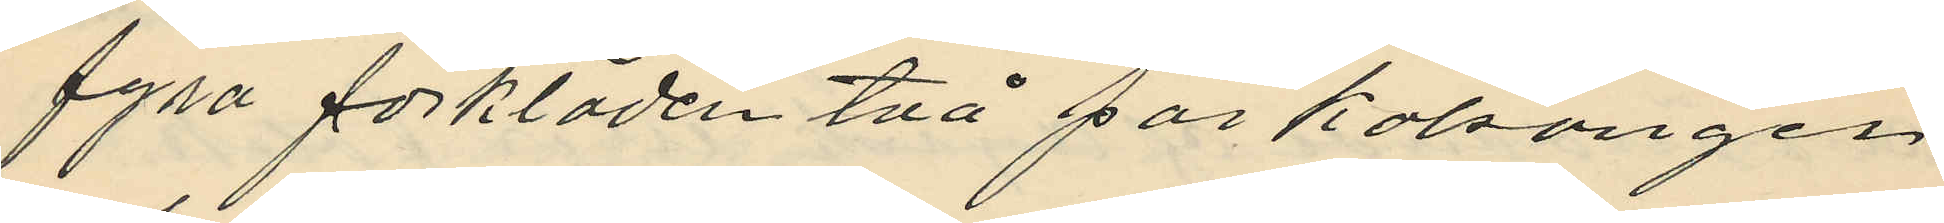fyra förkläden två par kalsonger
